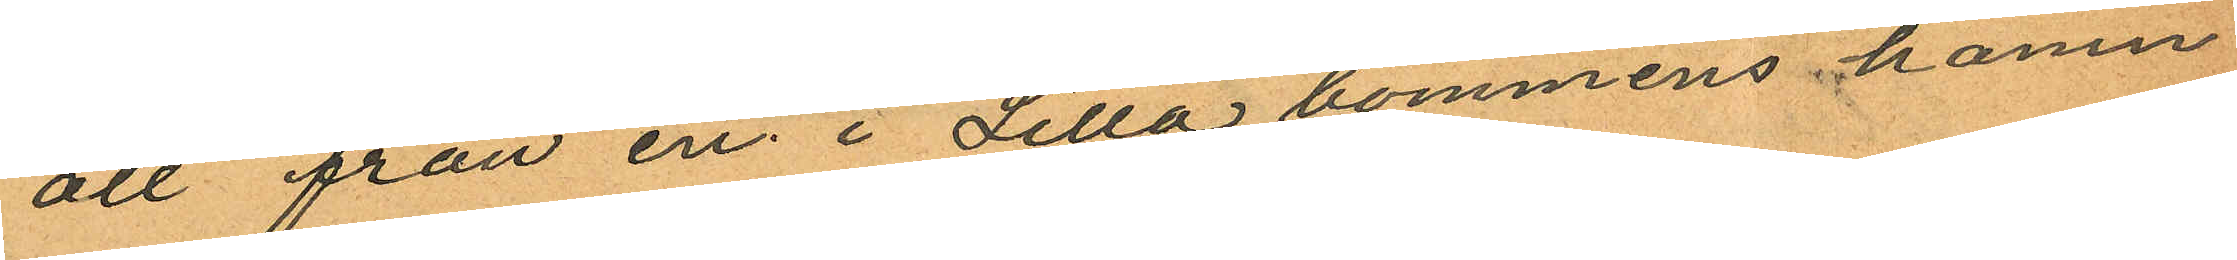att från en i Lilla bommens hamn
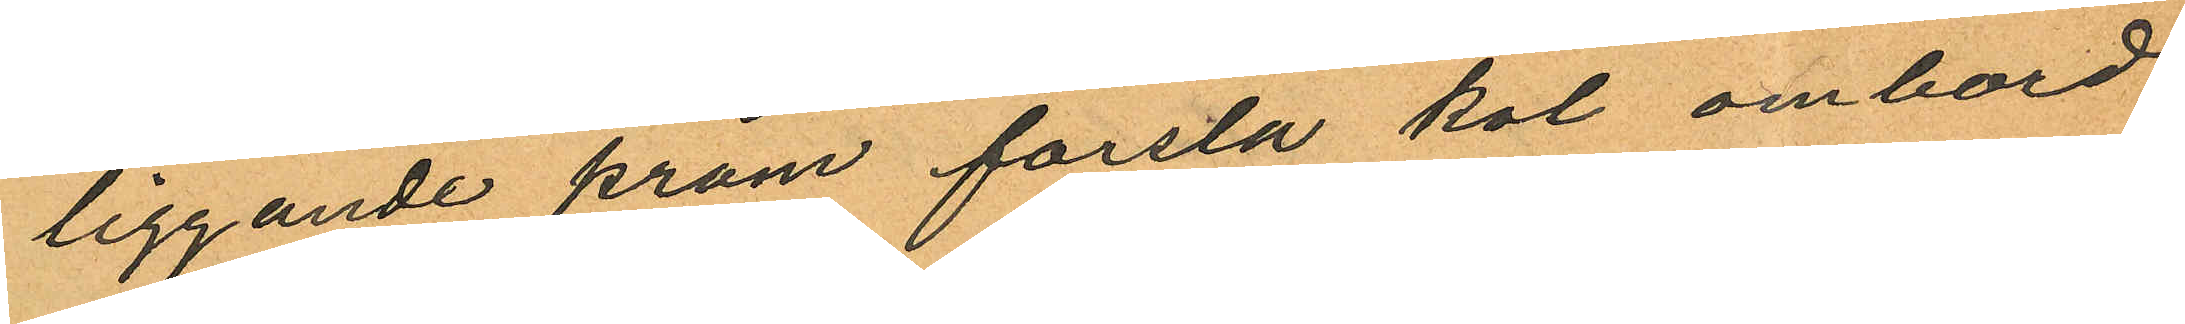liggande pråm forsla kol ombord
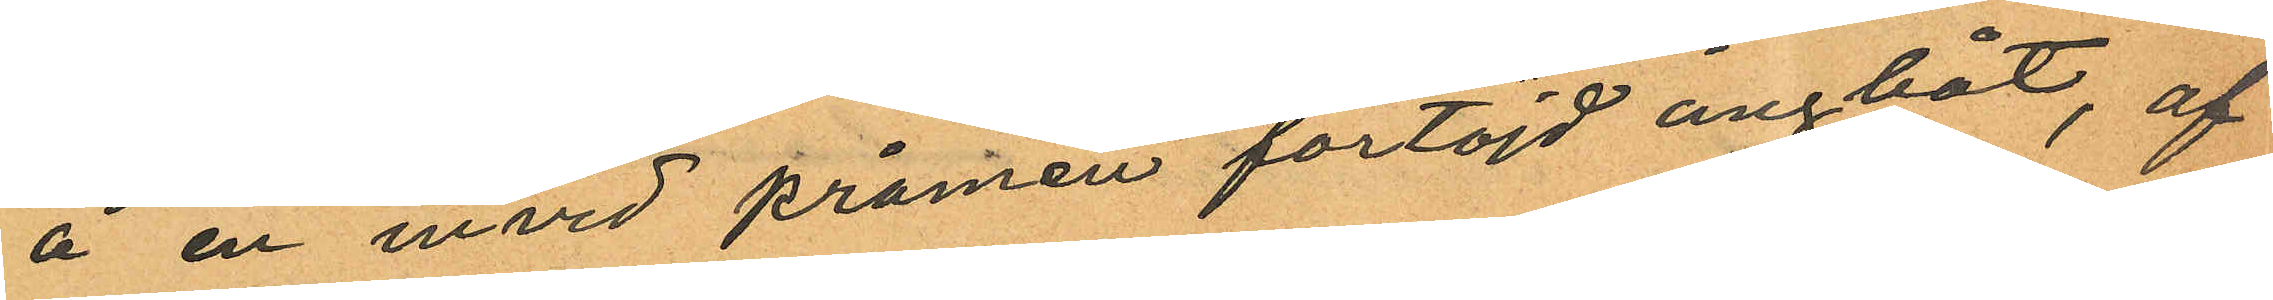å en invid prömen förtöjd ångbåt, af
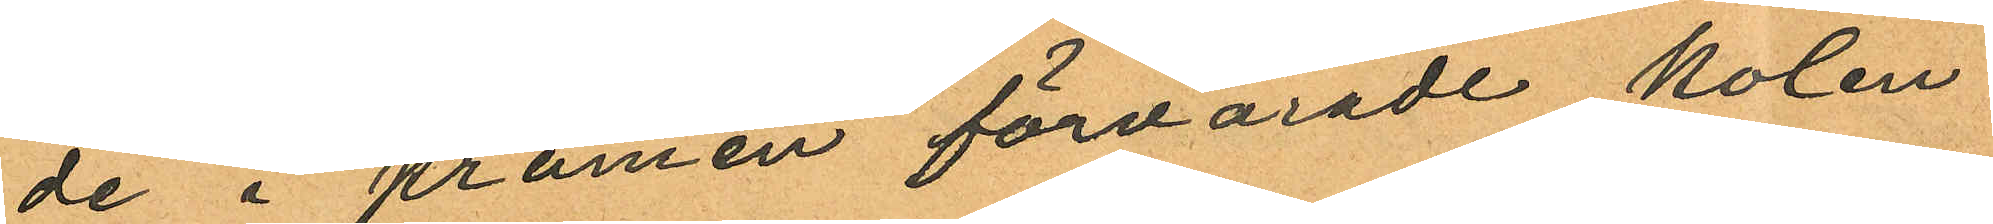de i pråmen förvarade kolen
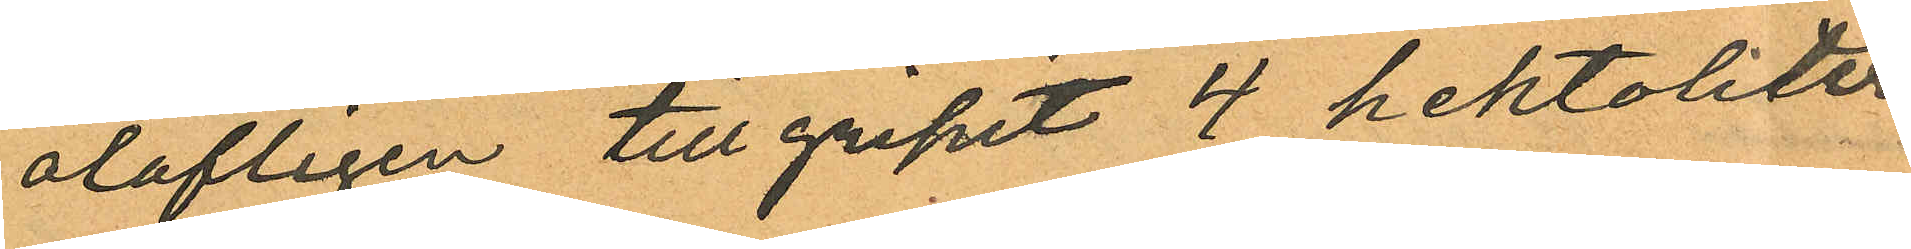olofligen tillgripit 4 hektoliter
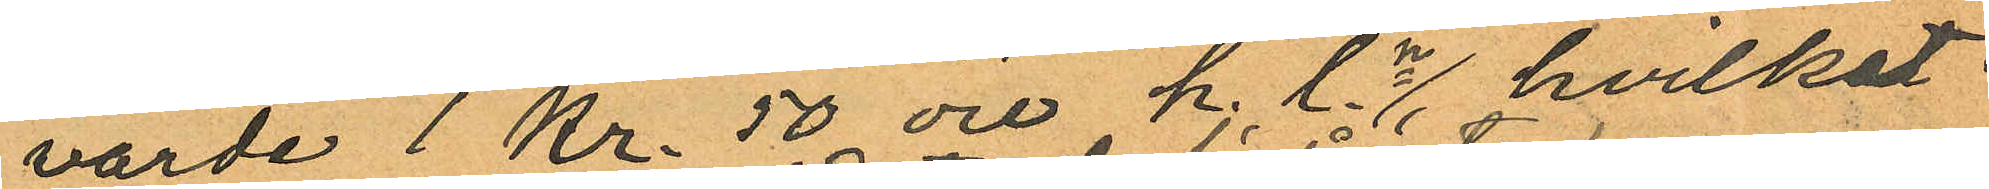värde 1 Kr. 50 öre h. l.n hvilket
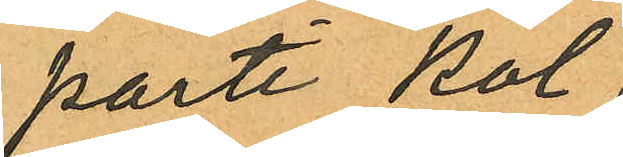parti kol
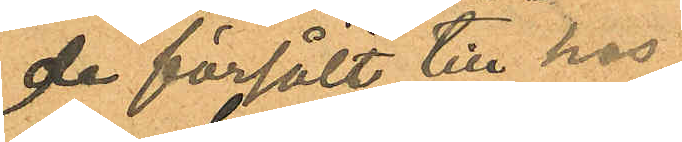de försålt till hos
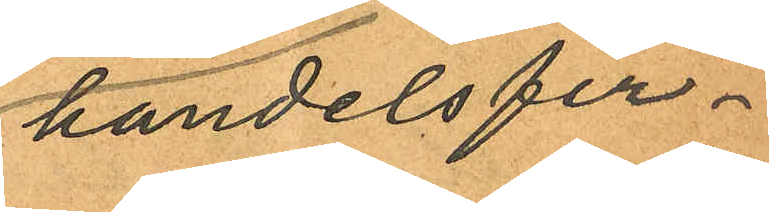handelsfir¬
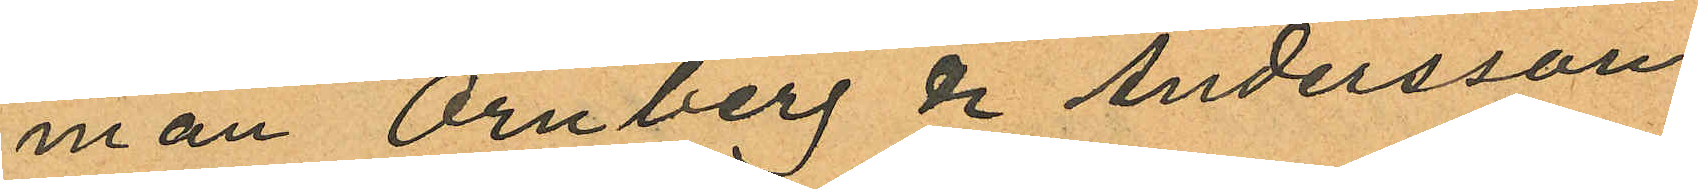man Örnberg & Andersson
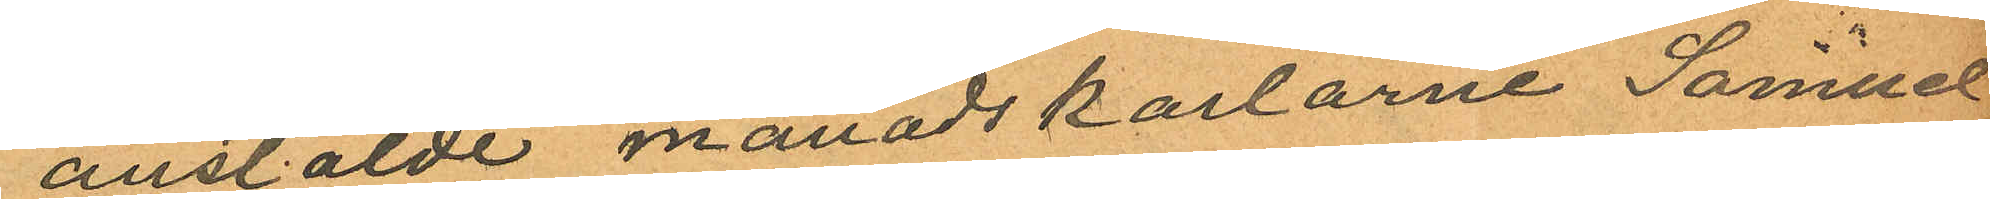anstälde månadskarlarne Samuel
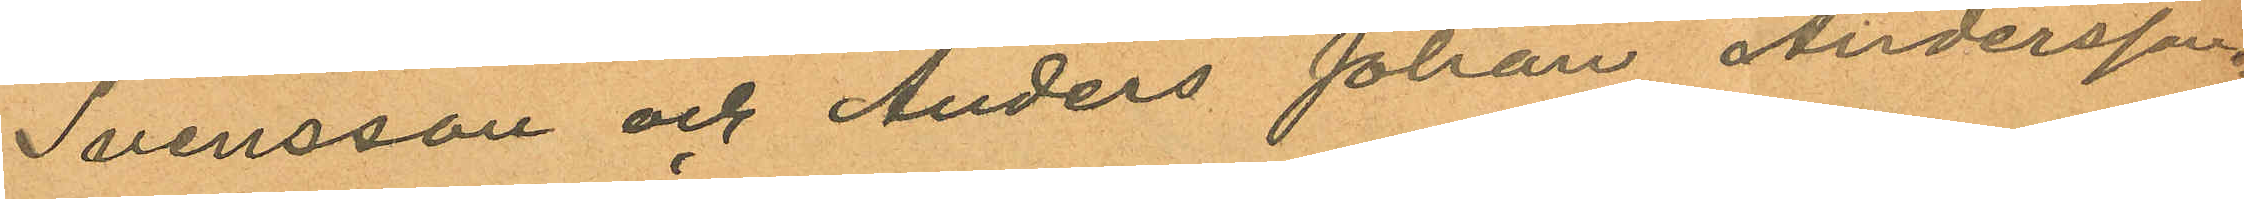Svensson och Anders Johan Andersson.
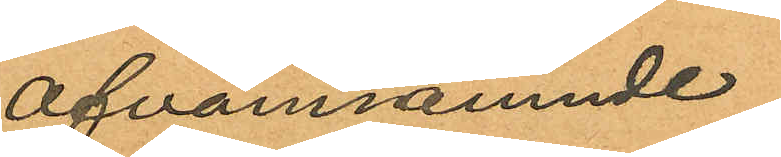Ofvannämnde
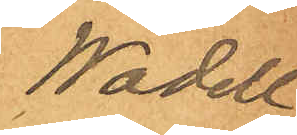Wadell,
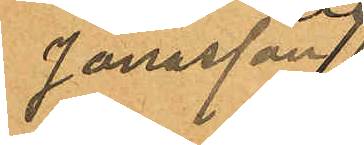Jonasson,
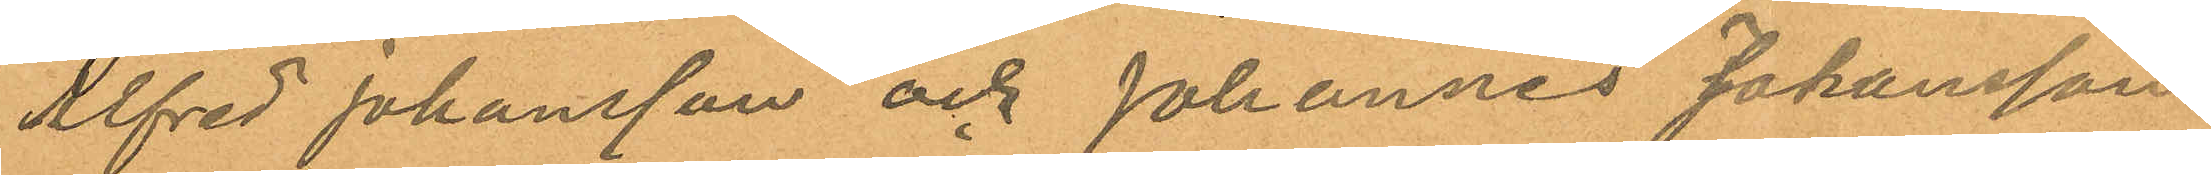Alfred Johansson och Johannes Johansson
